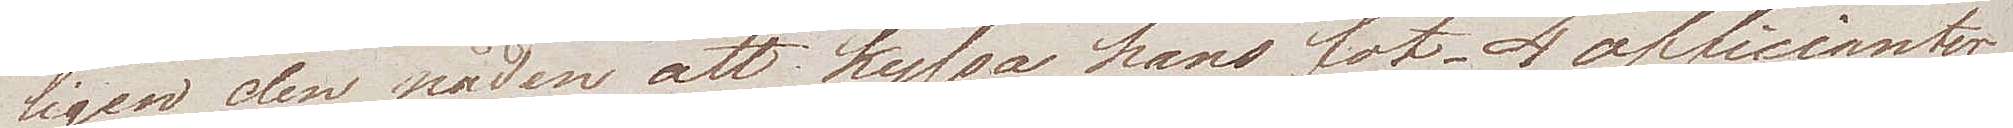ligen den nåden att kyssa hans fot. 4 officianter
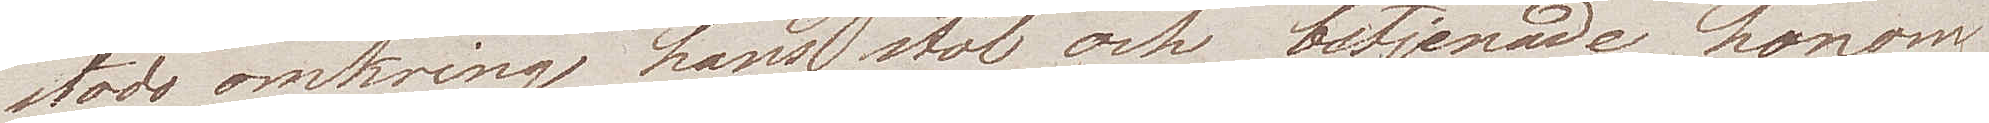stodo omkring hans stol och betjenade honom
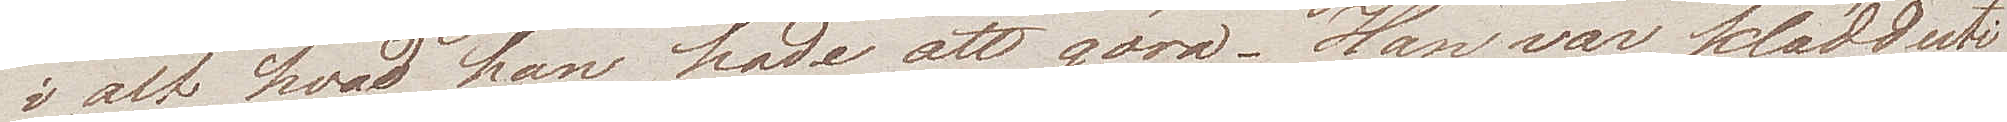i alt hvad han hade att göra. Han var klädd uti
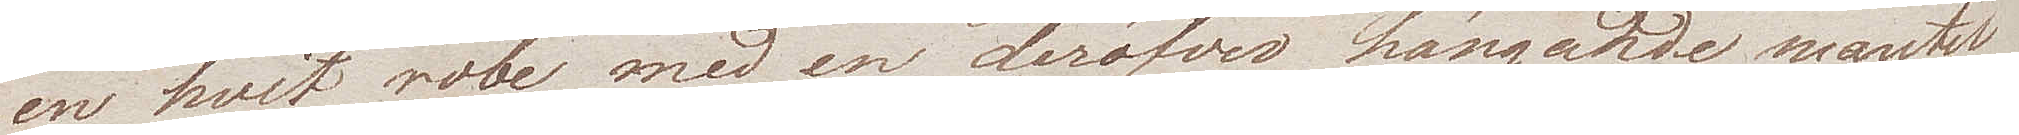en hvit robe med en deröfver hängande mantel
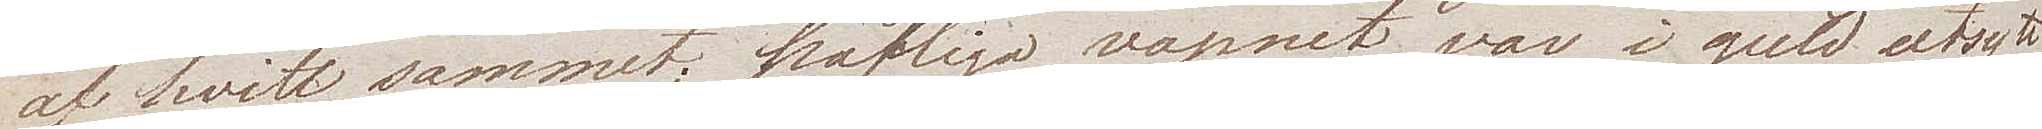af hvitt sammet; påfliga vapnet var i guld utsytt
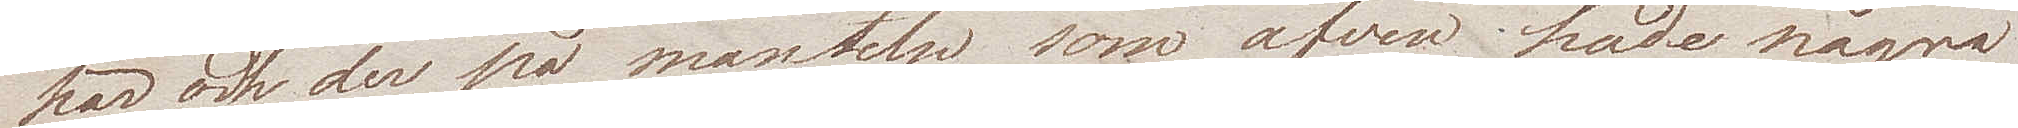här och der på manteln som äfven hade några
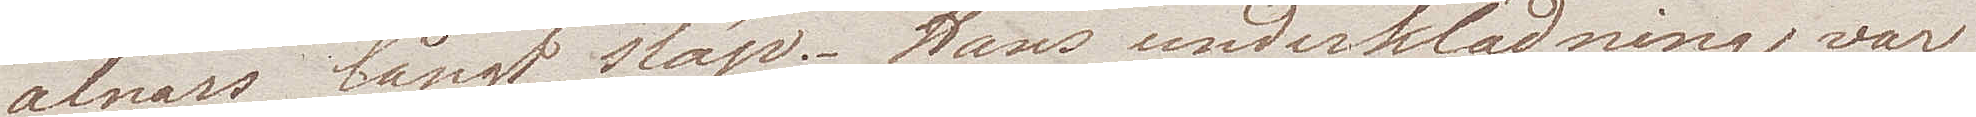alnars långt släp. Hans underklädning var
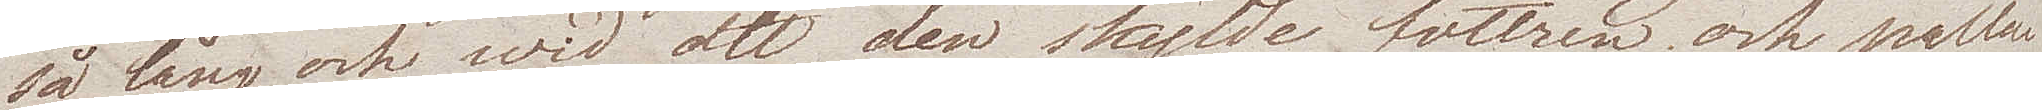så lång och wid att den skylde föttren och pallen
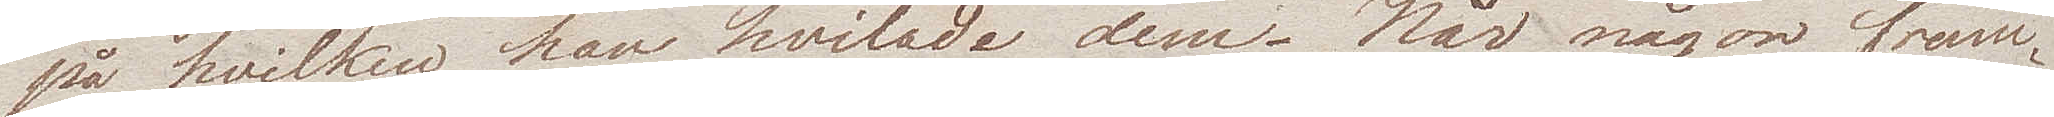på hvilken han hvilade dem. När någon fram¬
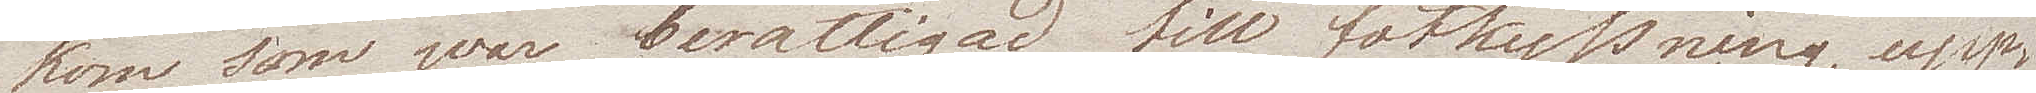kom som war berättigad till fotkyssning, upp¬
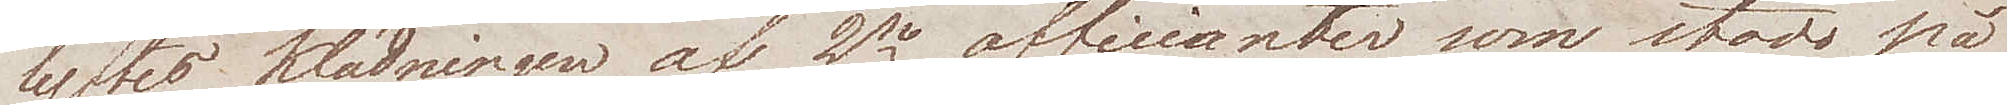lyftes klädningen af 2ne officianter som stodo på
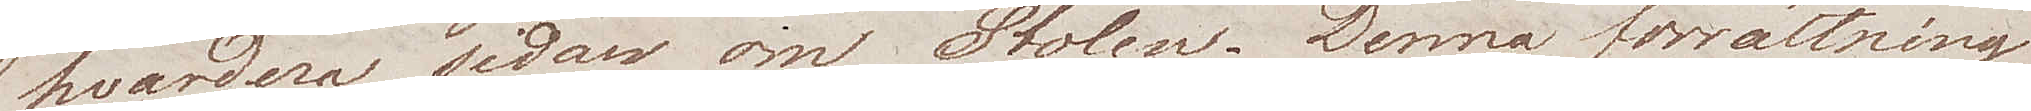hvardera sidan om Stolen. Denna förrättning
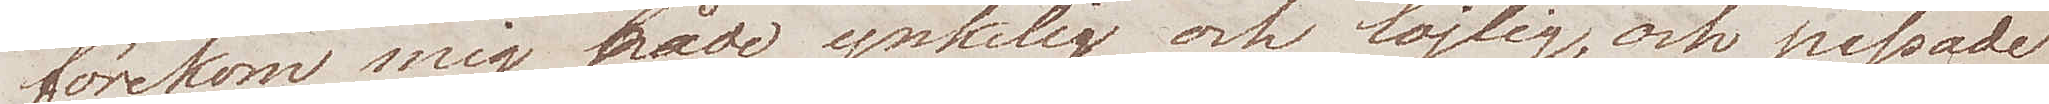förekom mig både ynkelig och löjlig, och passade
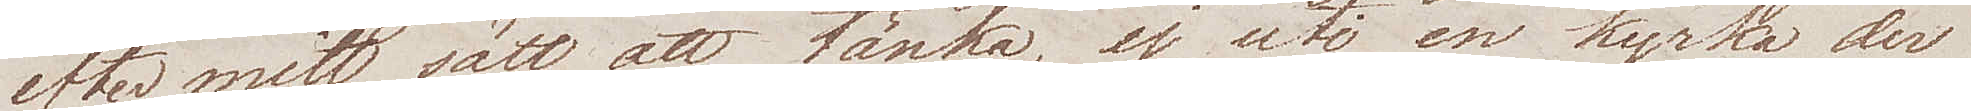efter mitt sätt att tänka, ej uti en kyrka der
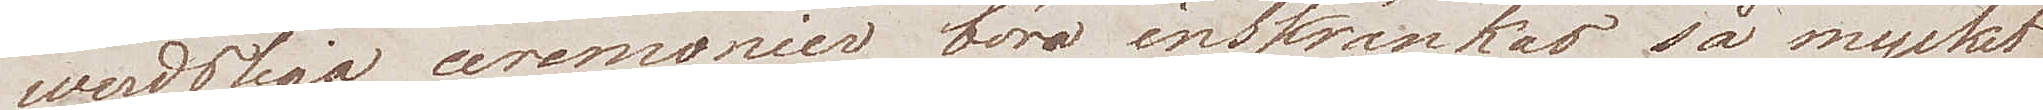werdsliga ceremonier böra inskränkas så mycket
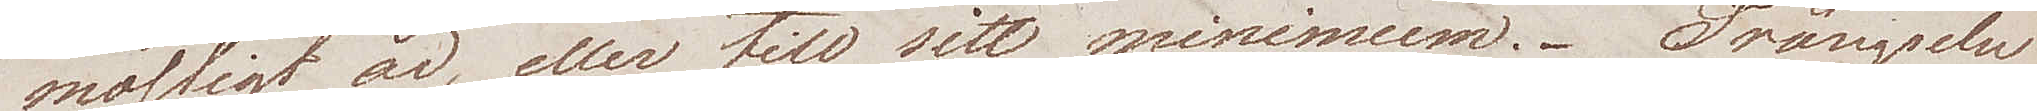möjligt är, eller till sitt minimum. Trängseln
